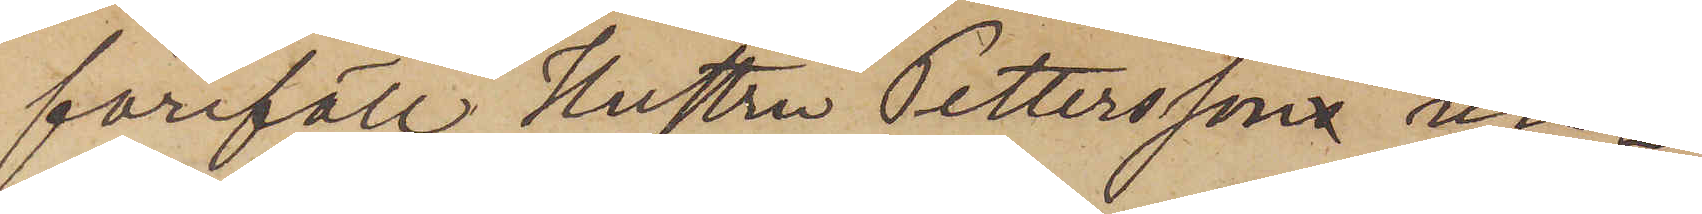föreföll Hustru Petterssons un¬
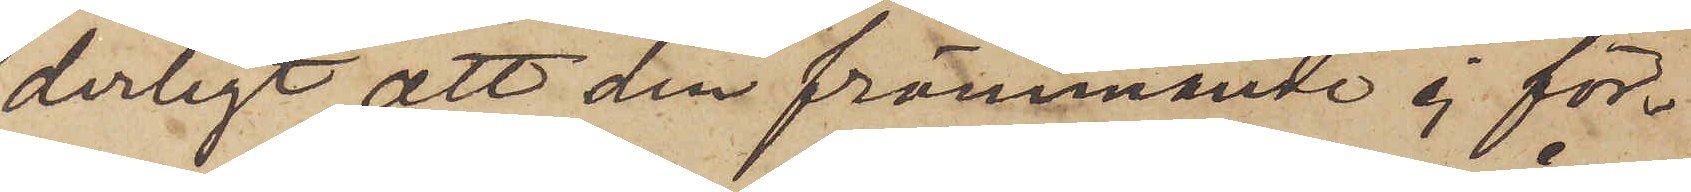derligt, att den främmande ej för¬
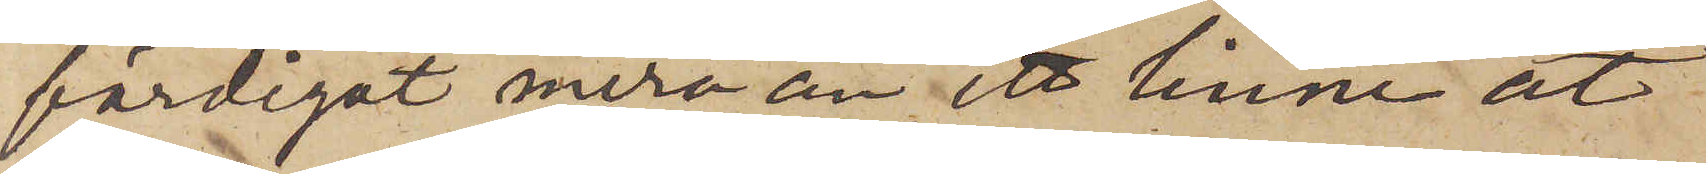färdigat mera än ett linne åt
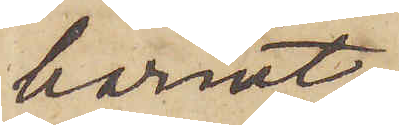barnet.
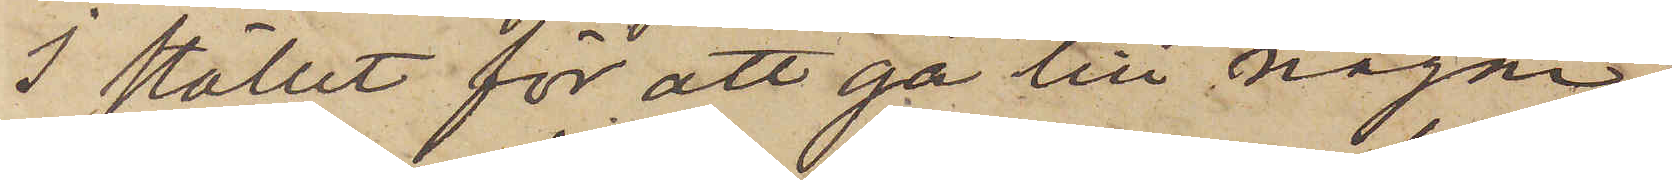I stället för att gå till någon
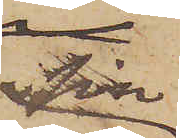sin
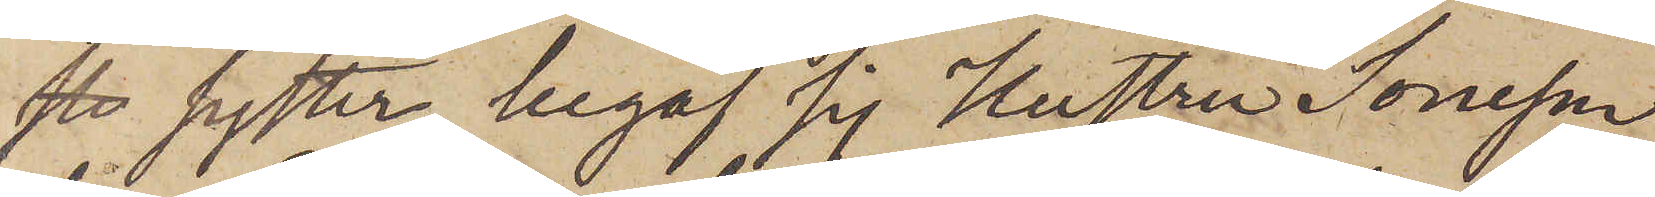syster, begaf sig Hustru Soneson
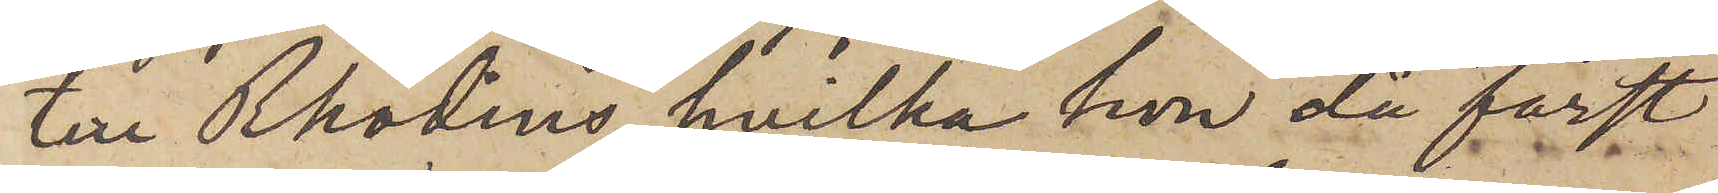till Rhodins, hvilka hon då först
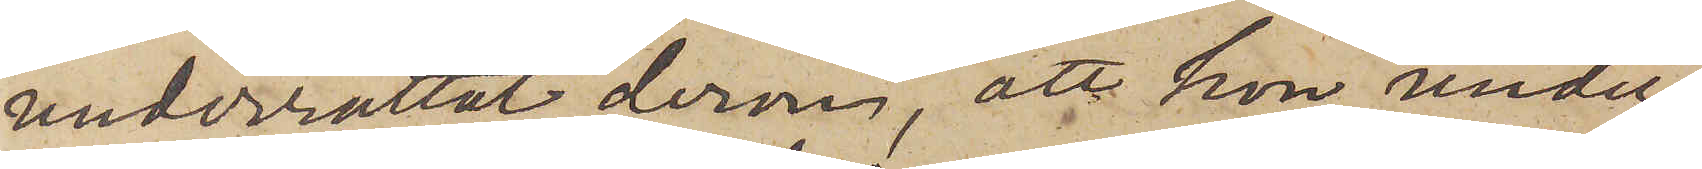underrättat derom, att hon under
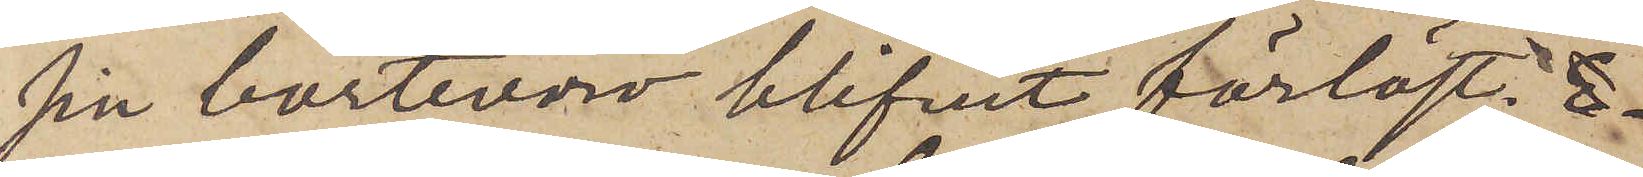sin bortovaro blifvit förlöst.
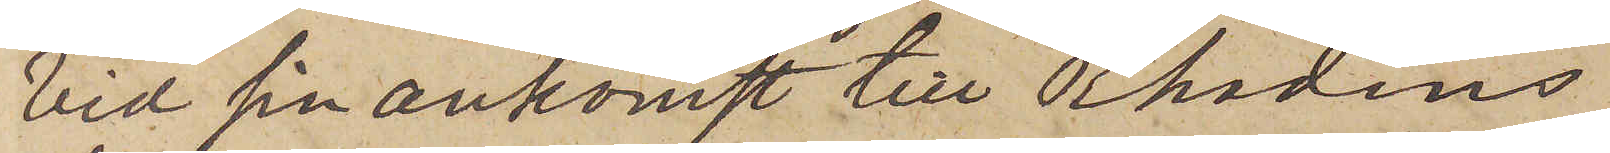Vid sin ankomst till Rhodins
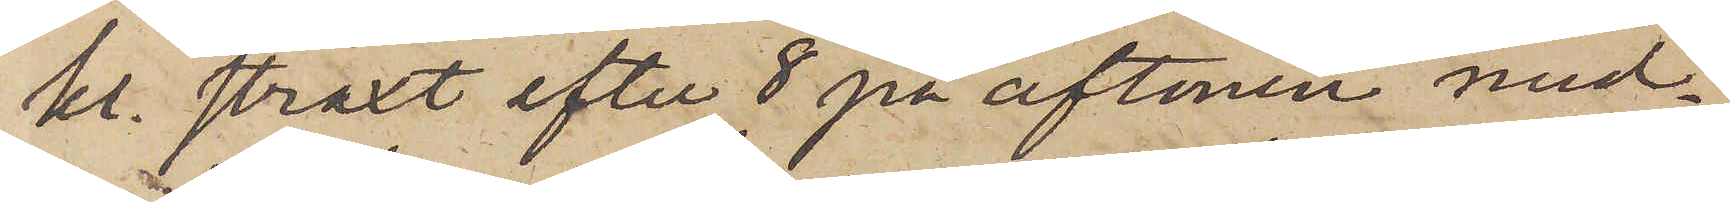kl. straxt efter 8 på aftonen med¬
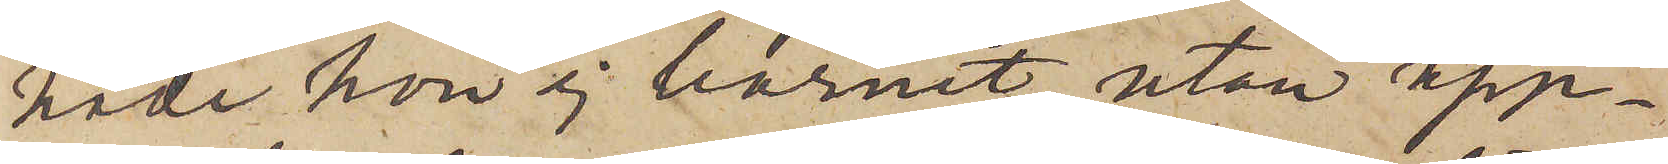hade hon ej barnet, utan upp¬
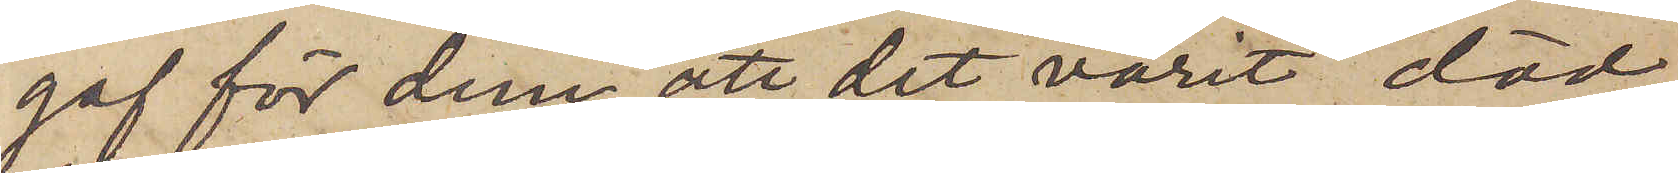gaf för dem, att det varit död¬
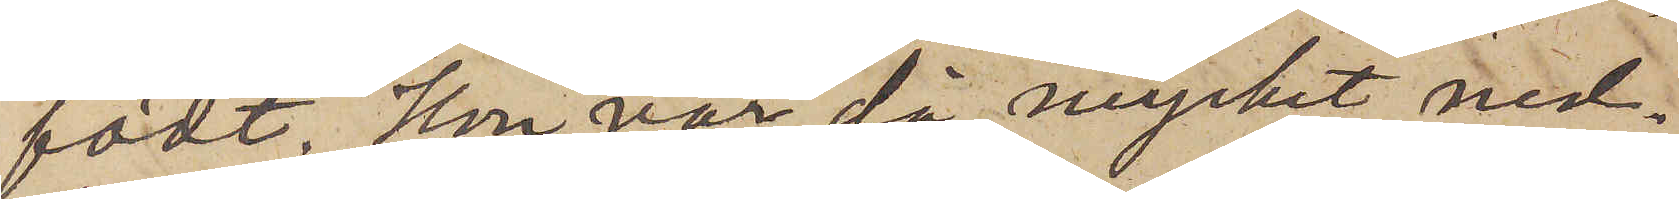födt. Hon var då mycket med¬
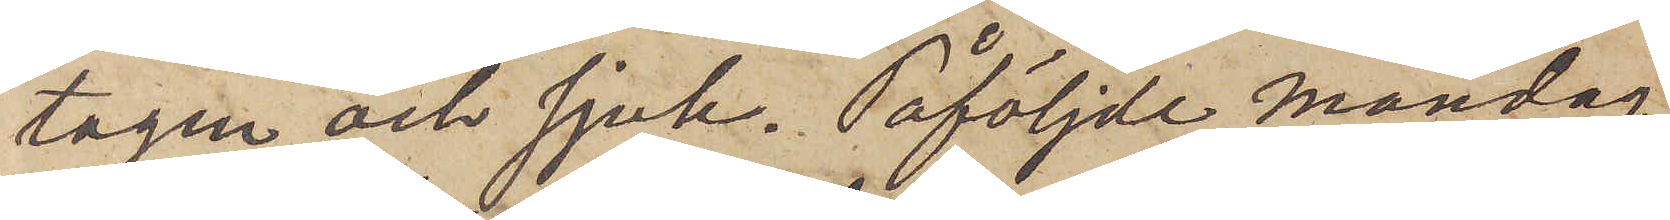tagen och sjuk. Påföljde Måndag
